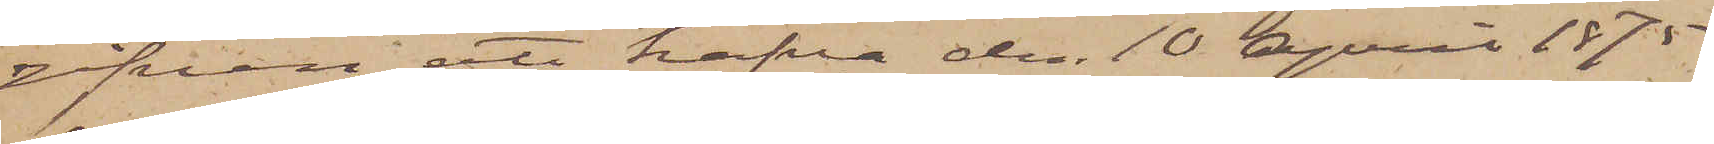gifven att hafva den 10 April 1875
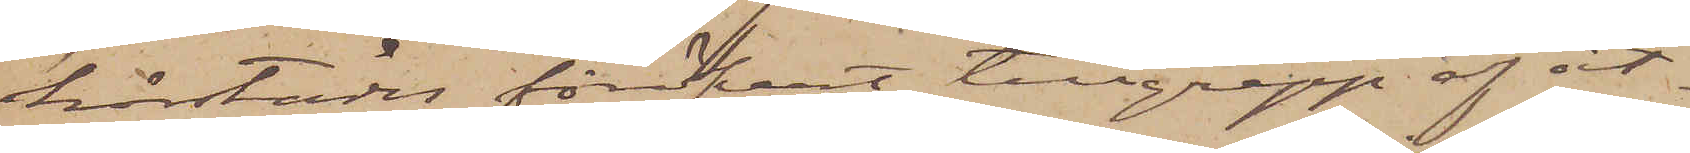härstädes föröfvat tillgrepp af åt¬
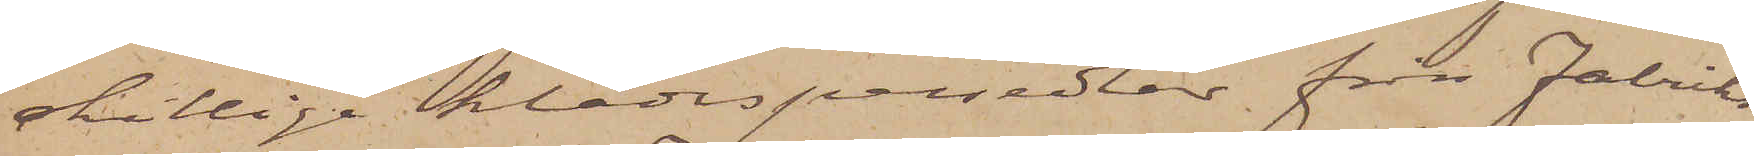skillige klädespersedlar från Fabriks¬
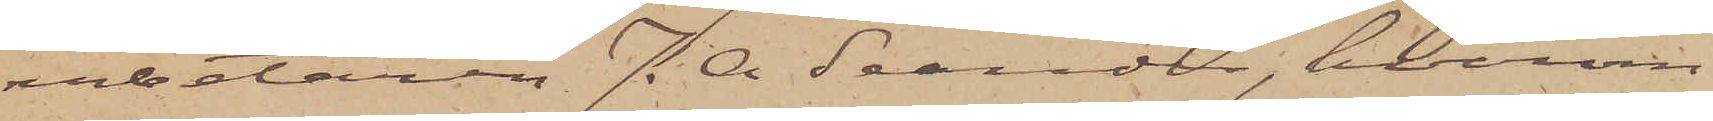arbetaren J. O. Seander, hvarom
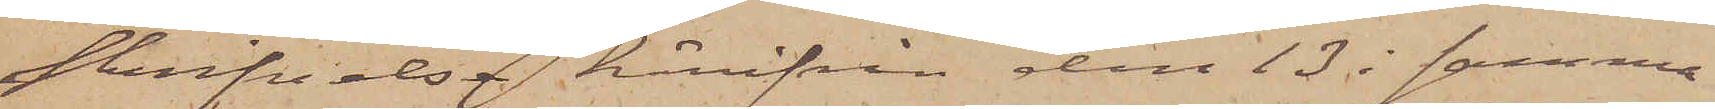skrifvelse härifrån den 13 i samma
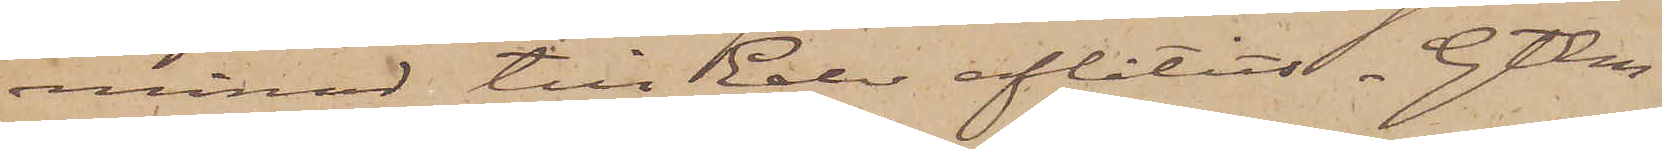månad till Eder aflåtits. Gtbg
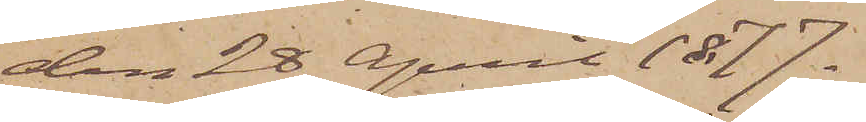den 28 April 1877.
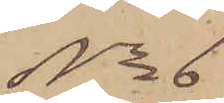No 6
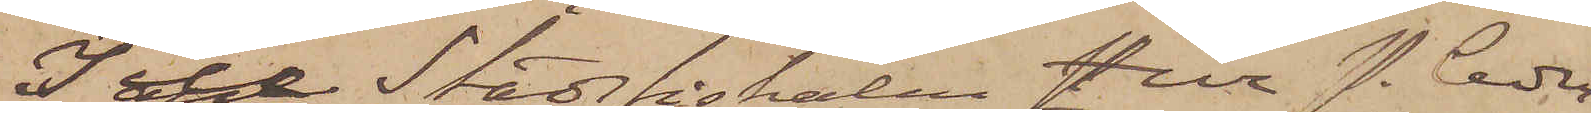Till Stadsfiskalen Herr P. Ceder¬
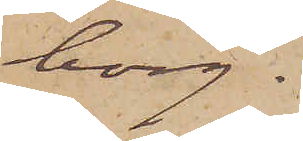borg.
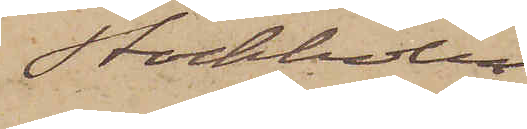Stockholm
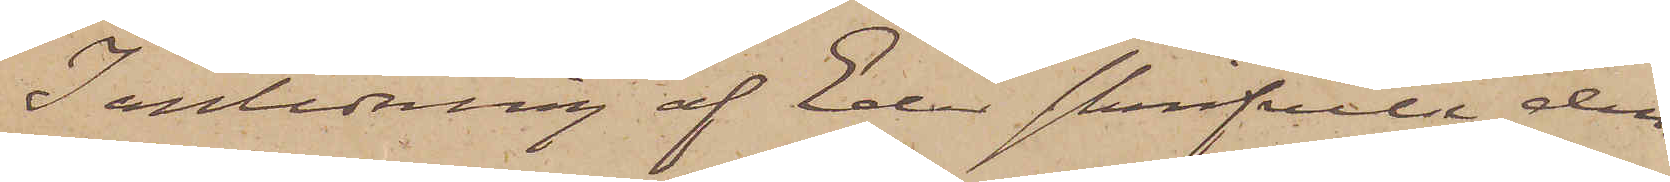I anledning af Eder skrifvelse den
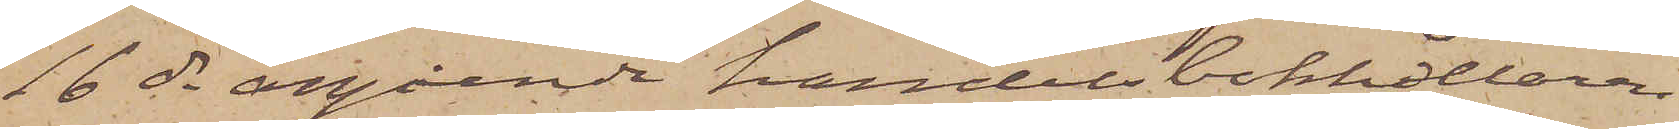16 ds angående handelsbokhållaren
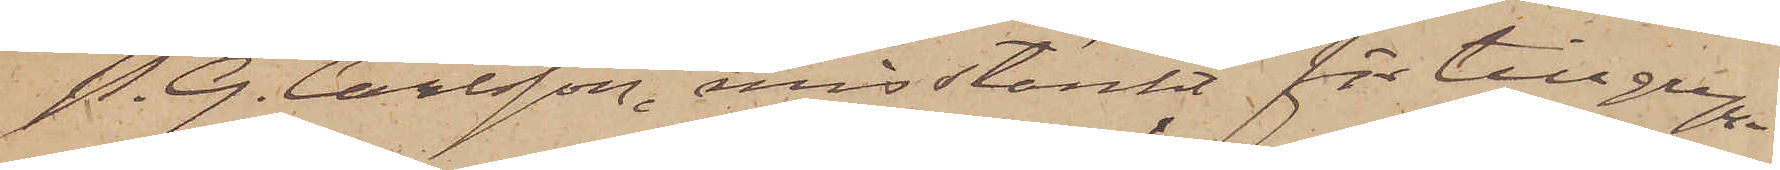P. G. Carlsson, misstänkt för tillgrepp
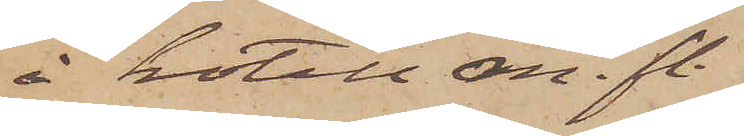å hotell m. fl.
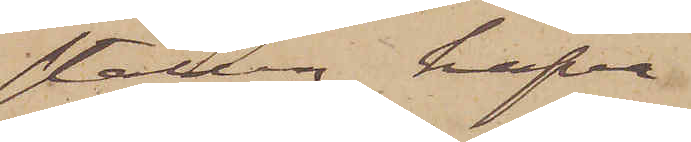ställen, hafva
